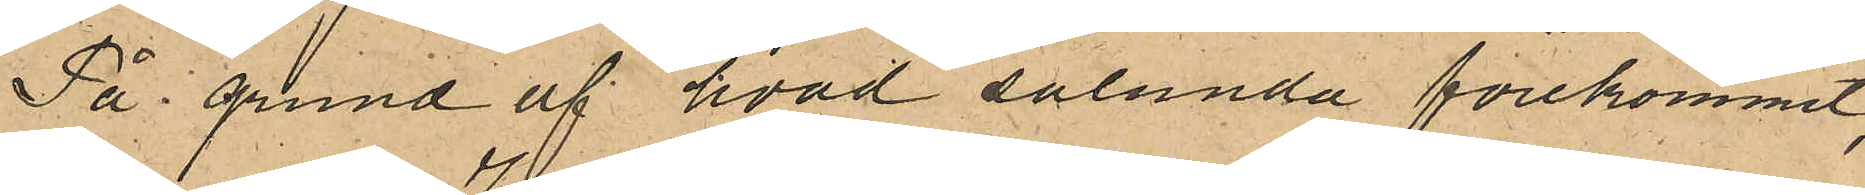På grund af hvad sålunda förekommit,
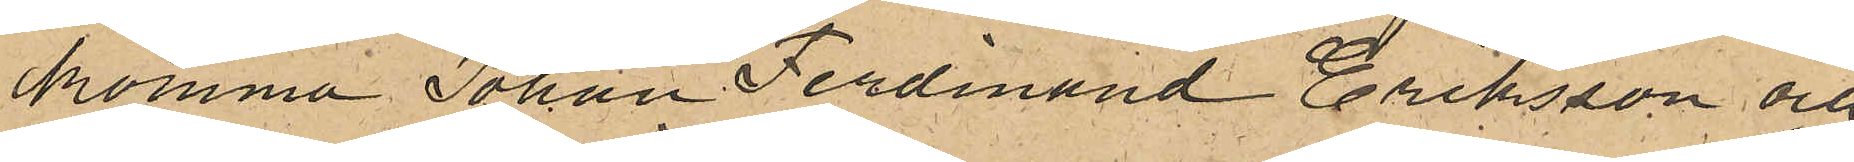komma Johan Ferdinand Eriksson och
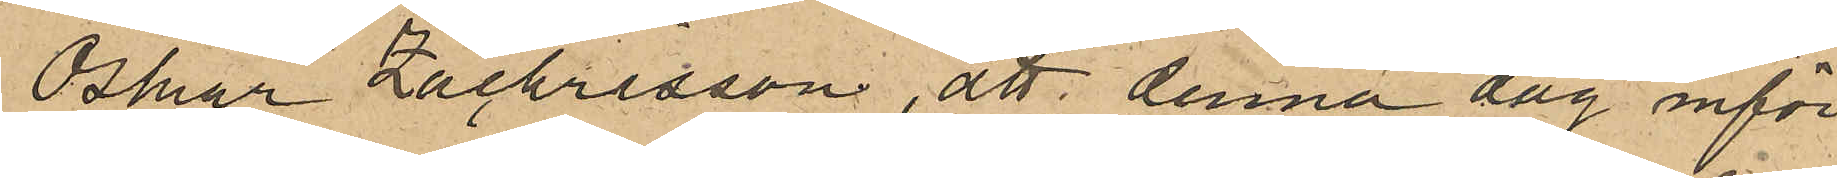Oskar Zachrisson, att denna dag inför
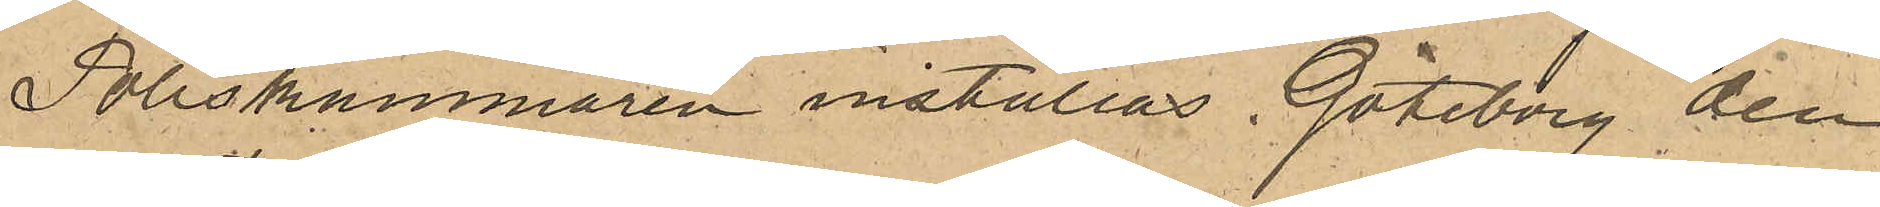Poliskammaren inställas. Göteborg den
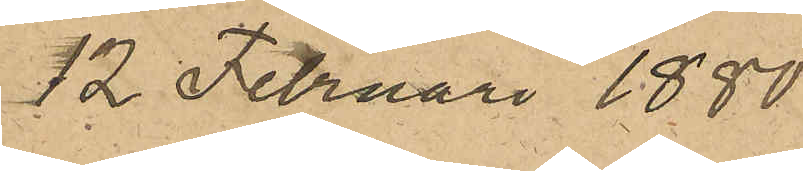12 Februari 1880.
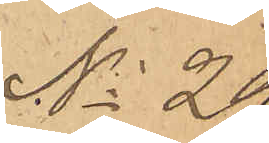No 29.
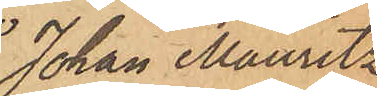Johan Mauritz
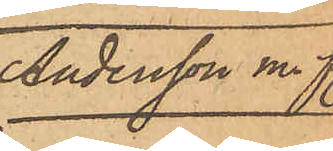Andersson m. fl.
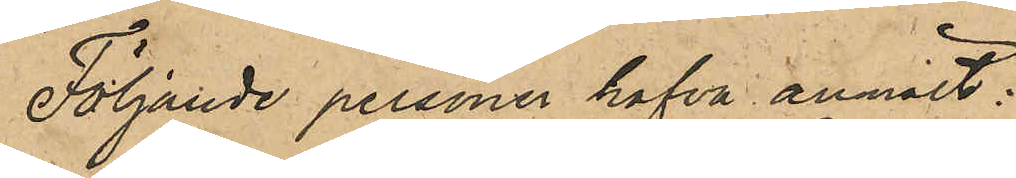Följande personer hafva anmält:
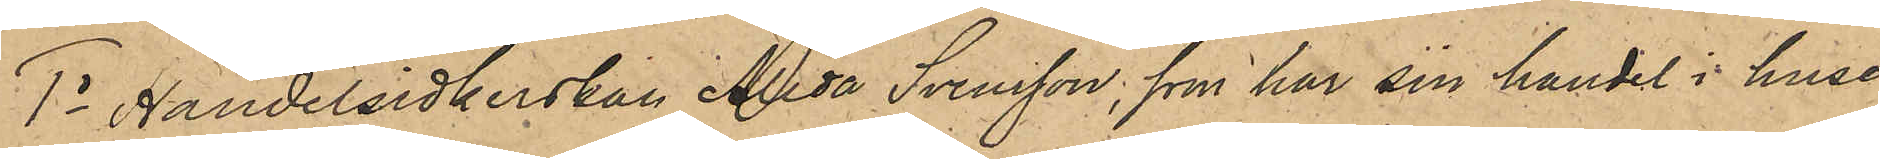1o handelsidkerskan Alida Svensson, som har sin handel i huset
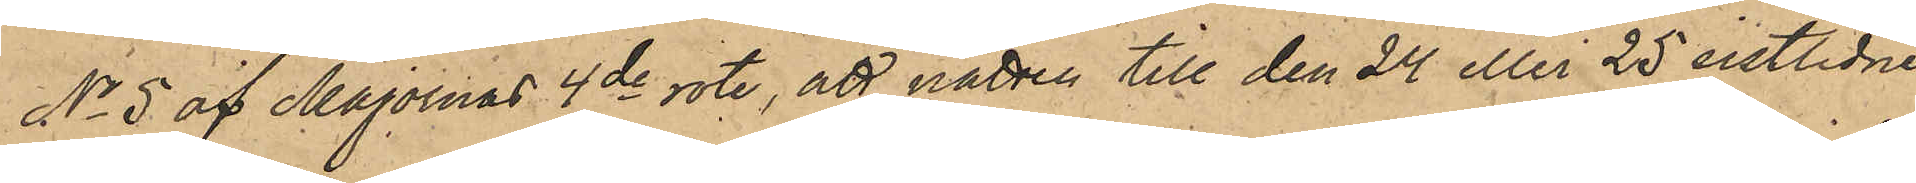No 5 af Majornas 4de rote, att natten till den 24 eller 25 sistlidne
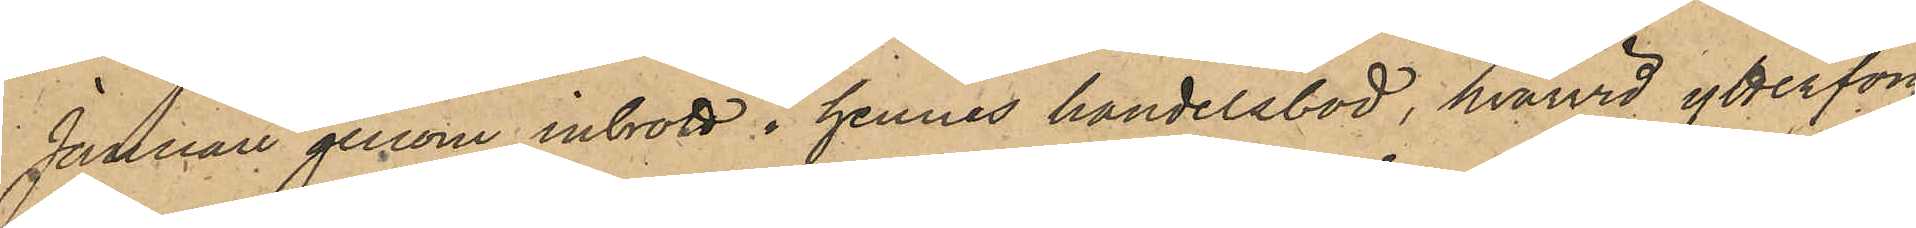Januari genom inbrott i hennes handelsbod, hvarvid ytterfön¬
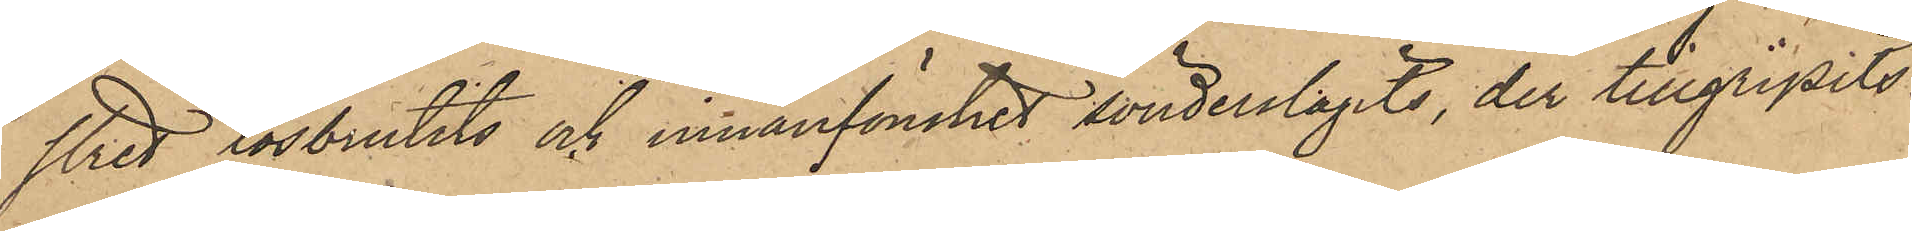stret lösbrutits och innanfönstret sönderslagits, der tillgripits
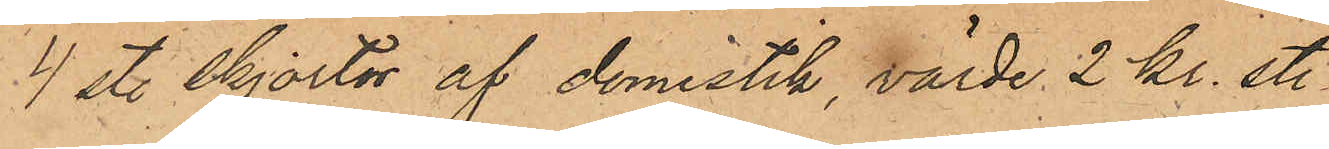4 st. skjortor av domistik, värde 2 kr. st.
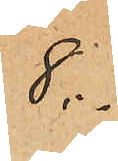8.-
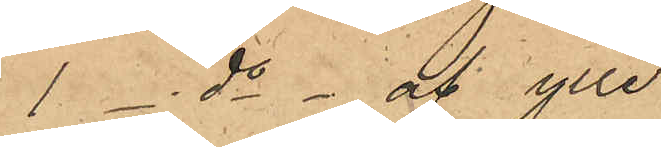1 - do - af ylle
